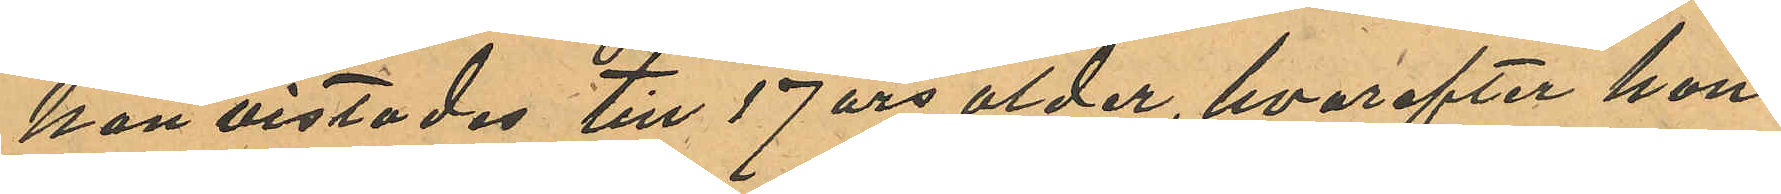hon vistades till 17 års ålder hvarefter hon
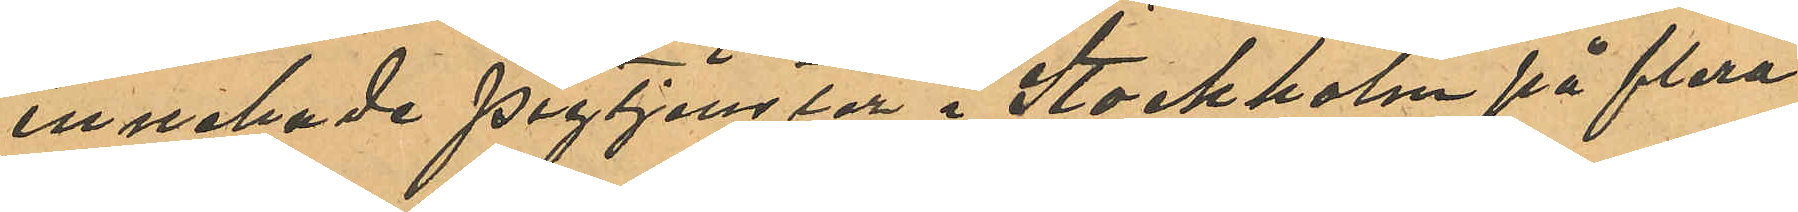innehade pigtjenster i Stockholm på flera
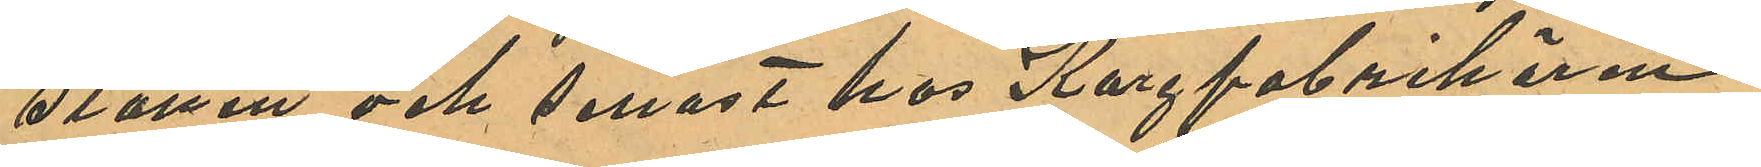ställen och senast hos Korgfabrikören
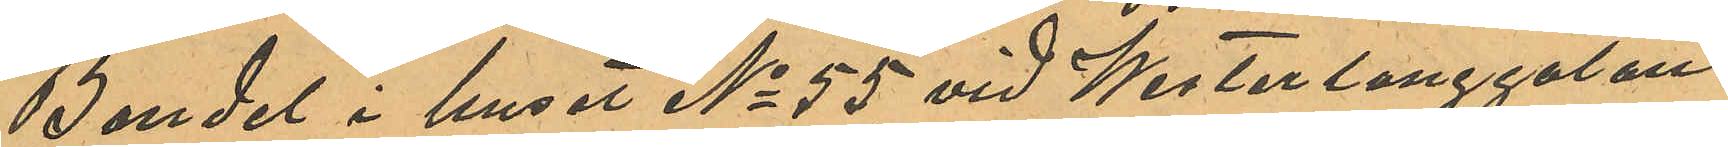Bandel i huset No 55 vid Westerlånggatan
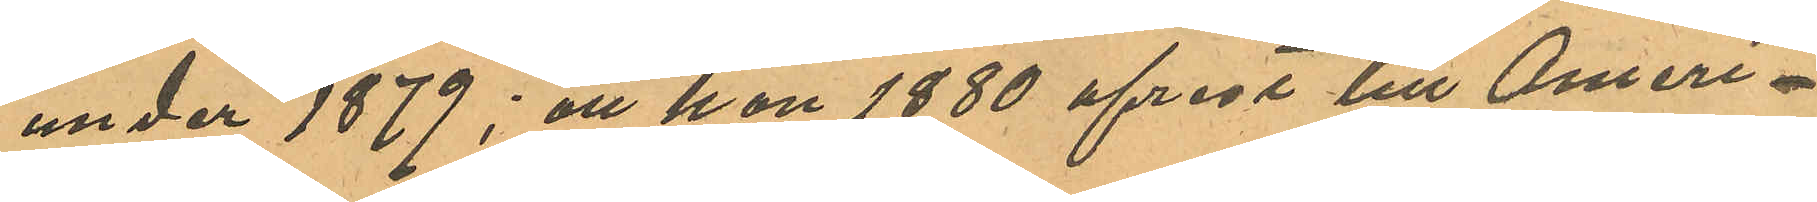under 1879; att hon 1880 afrest till Ameri¬
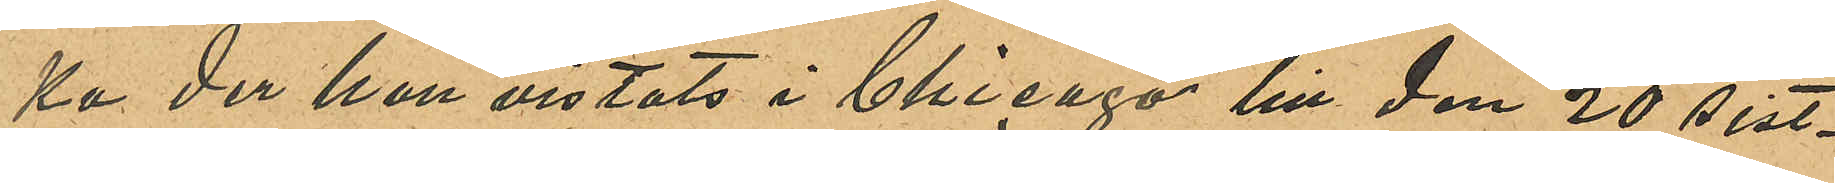ka der hon vistats i Chicago till den 20 sist¬
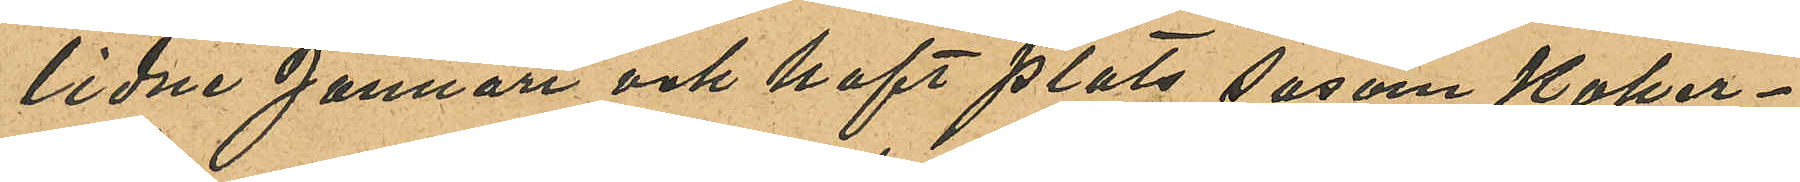lidne Januari och haft plats sasom koker¬
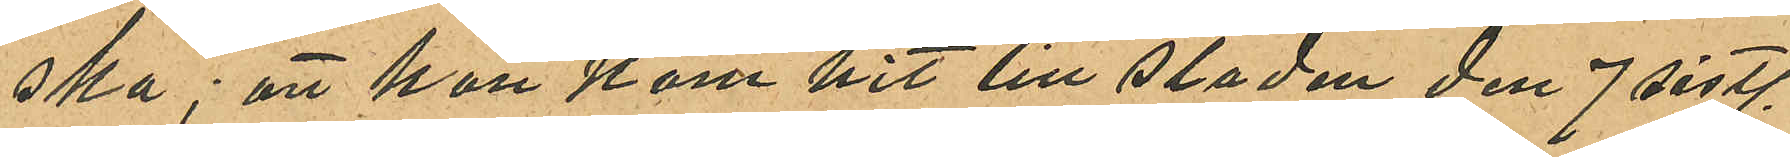ska; att hon kom hit till staden den 7 sistl.
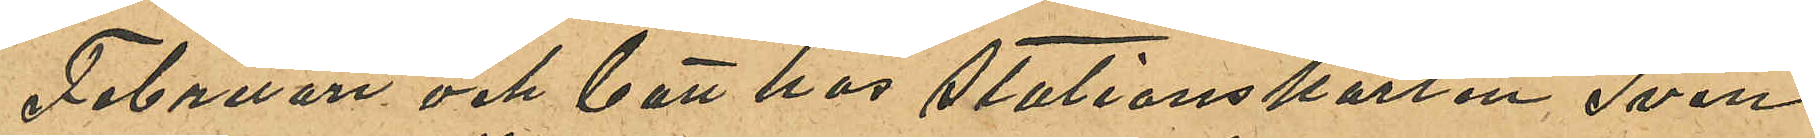Februari och bott hos Stationskarlen Sven
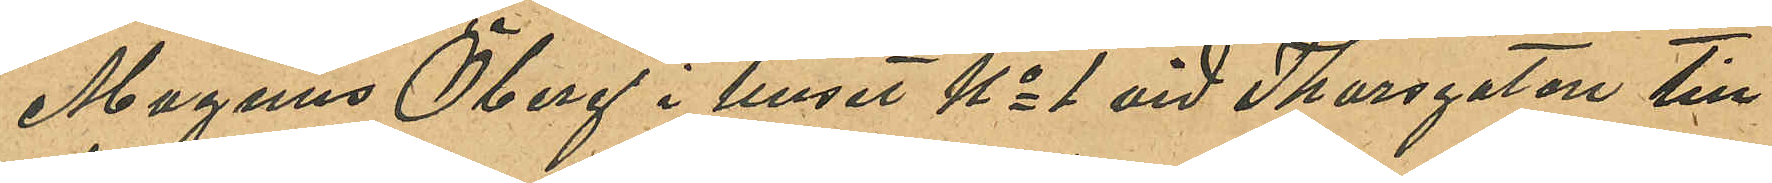Magnus Öberg i huset No 1 vid Thorsgatan till
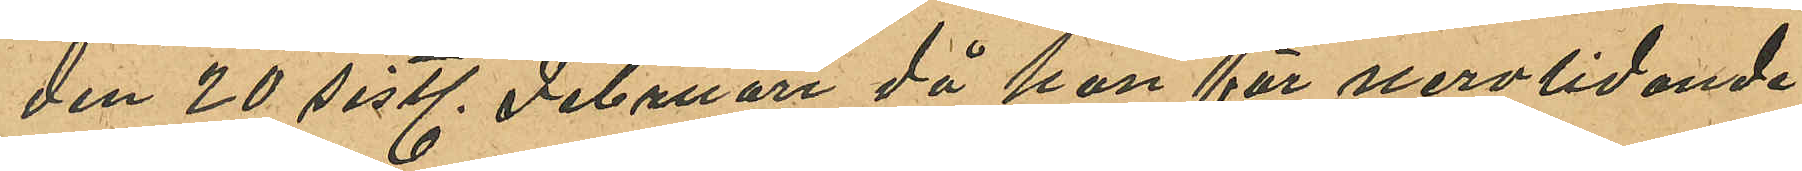den 20 sistl. Februari då hon för nervlidande
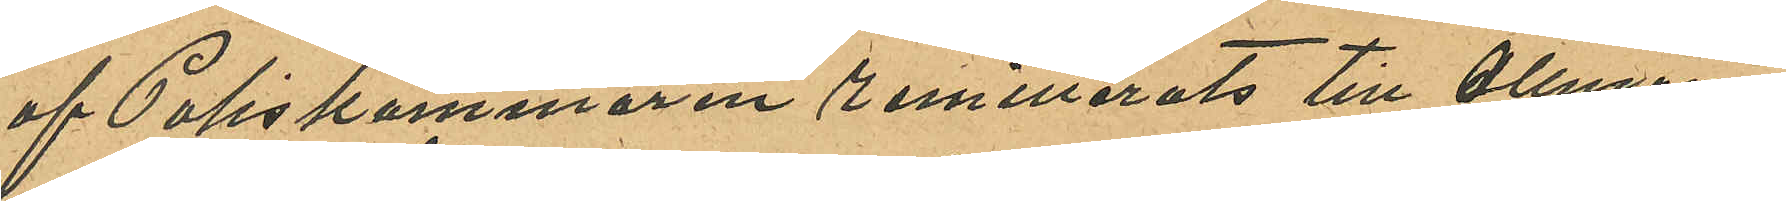af Poliskammaren remitterats till Allmän¬
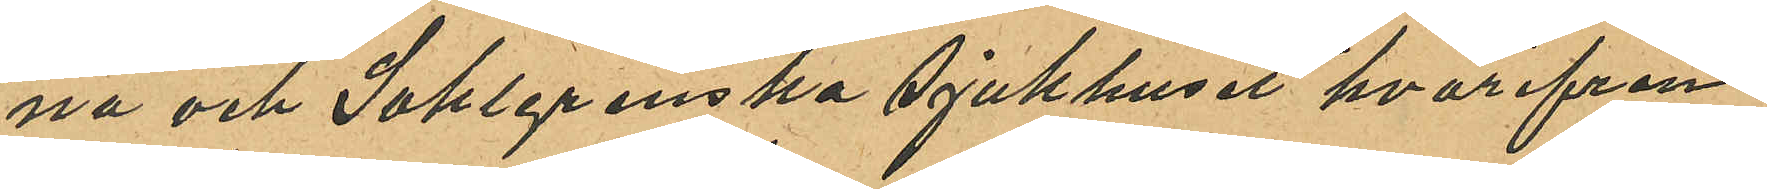na och Sahlgrenska Sjukhuset hvarifrån
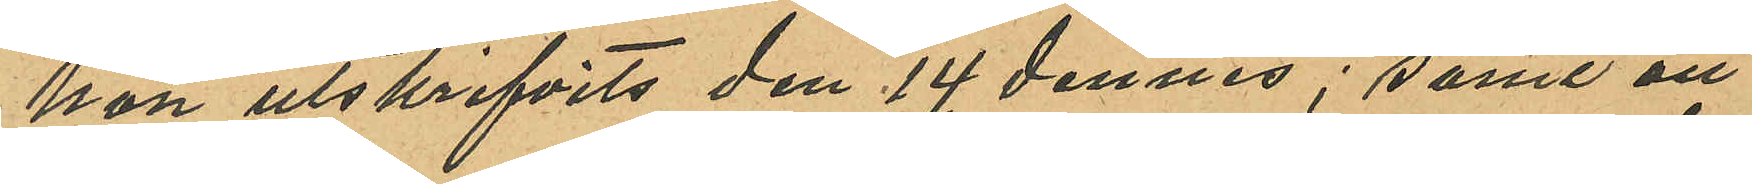hon utskrifvits den 14 dennes; samt att
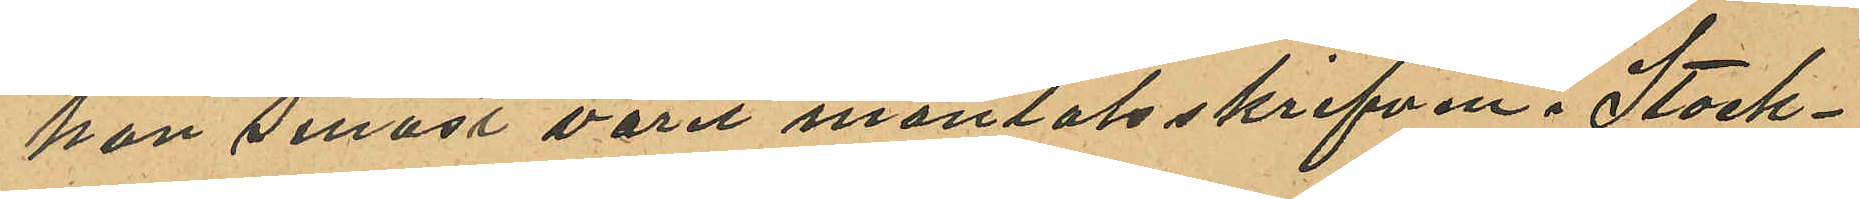hon senast varit mantalsskrifven i Stock¬
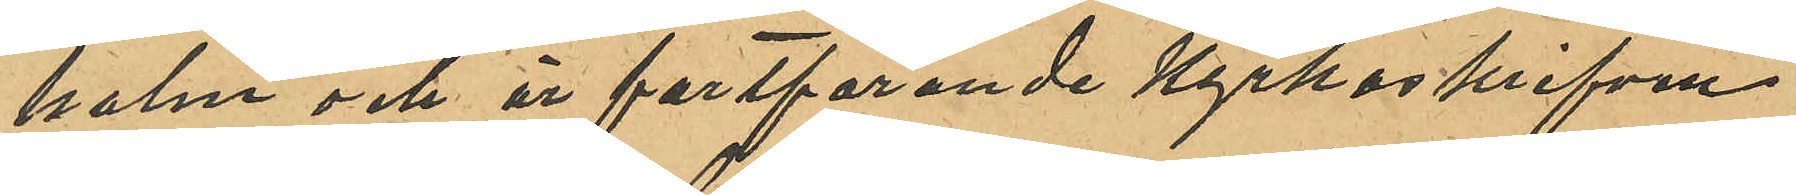holm och är fortfarande kyrkoskrifven
